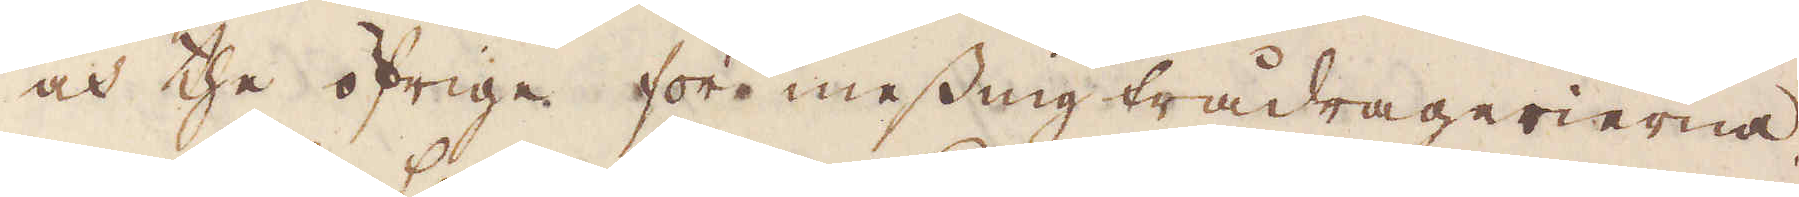och the öfrige för messing trådragerierna.
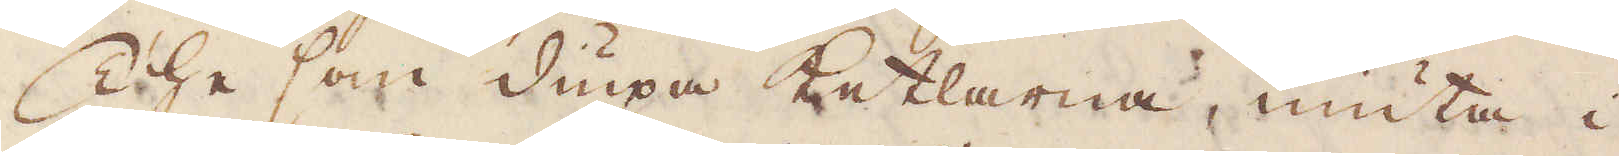The som diupa Ketlarna, niuta i
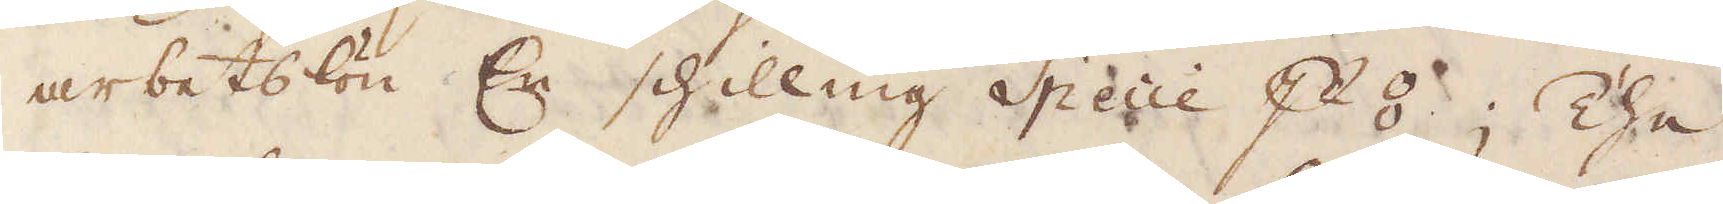arbetslön En schilling Specie p ⦂; The
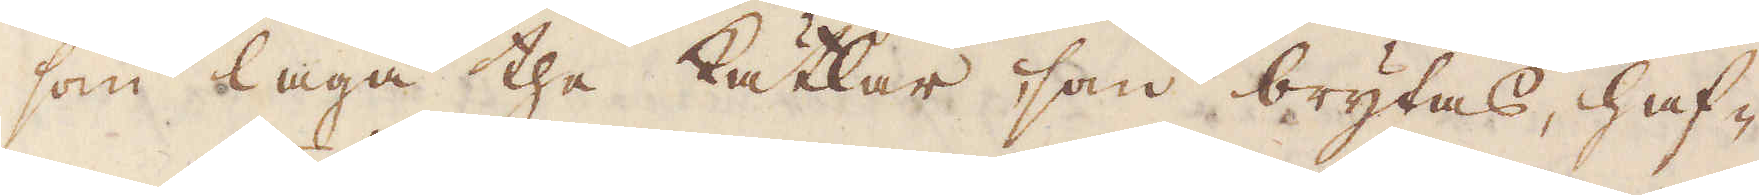som laga the kätlar som brytas, haf-
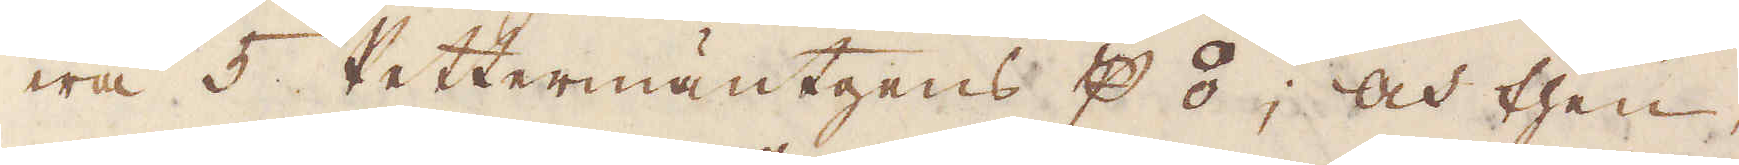wa 5 Pettermäntgens p ⦂; och then,
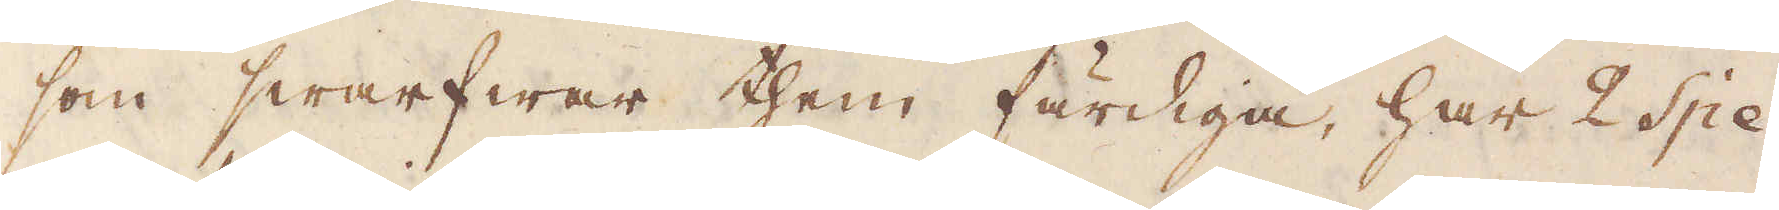som swarfwar them färdiga, har 2 Spe-
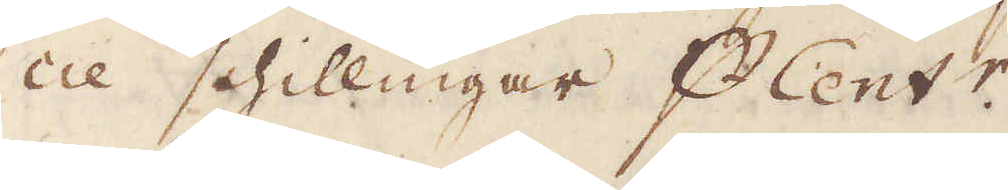cie schillingar p Cent:r.
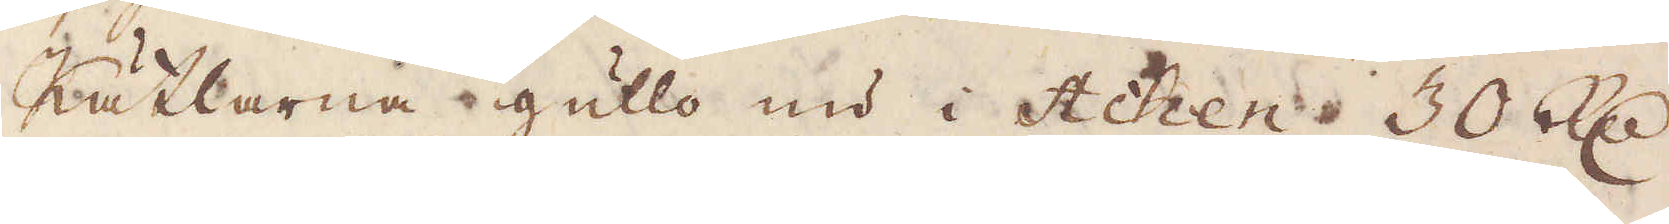Kätlarna gullo nu i Achen 30 R:dr
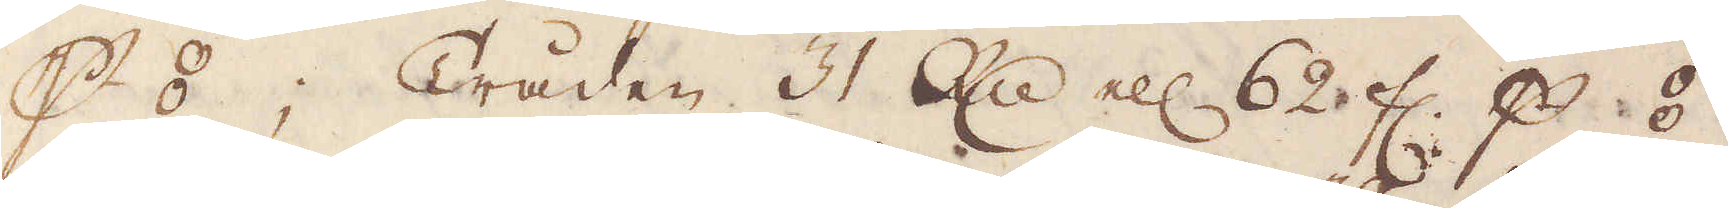p ⦂; Tråden 31 R:dr ell: 62 fl. p ⦂.
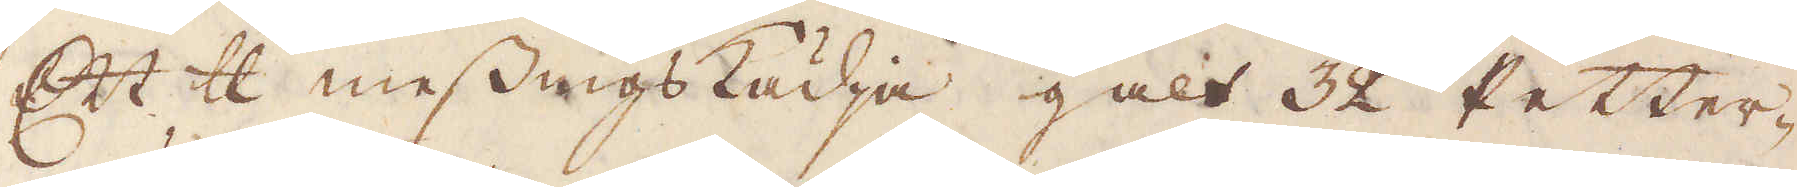Ett skålpund messingskädja galt 32 Petter-
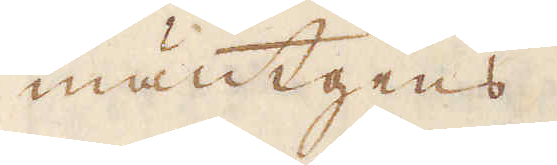mäntgens.
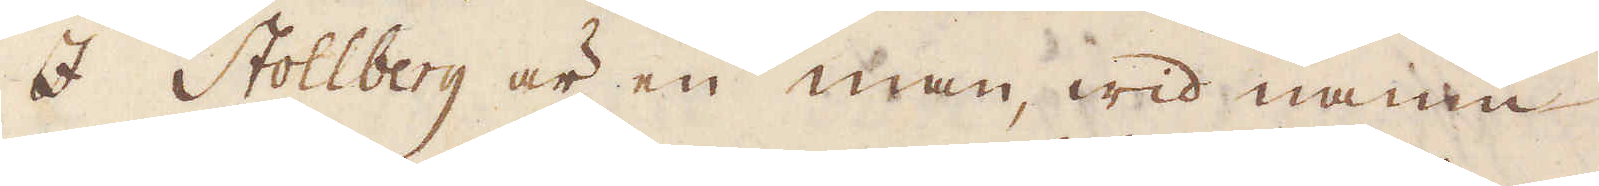I Stollberg är en man, wid namn
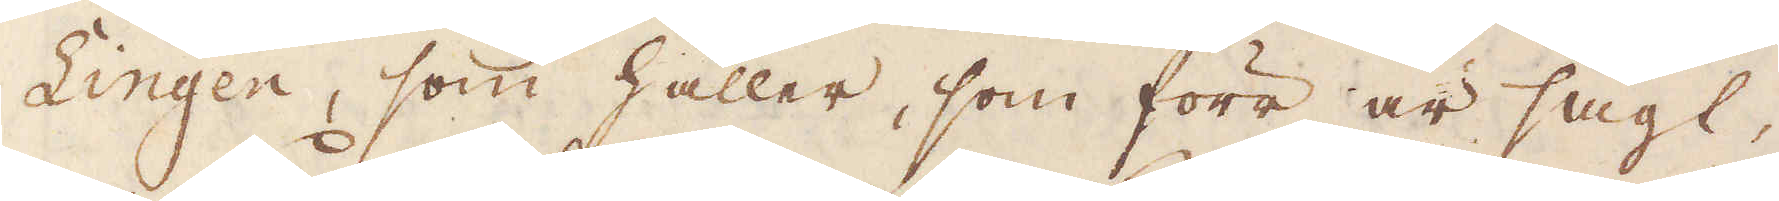Lingen, som håller, som förr är sagt,
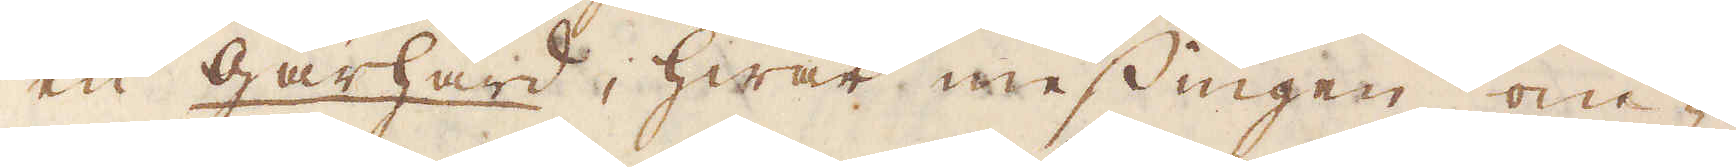en gårhärd, hwar messingen om-
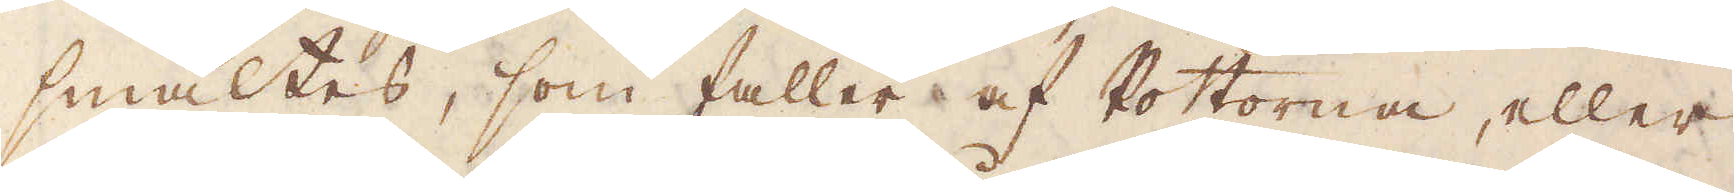smältes, som faller af Pottorna, eller
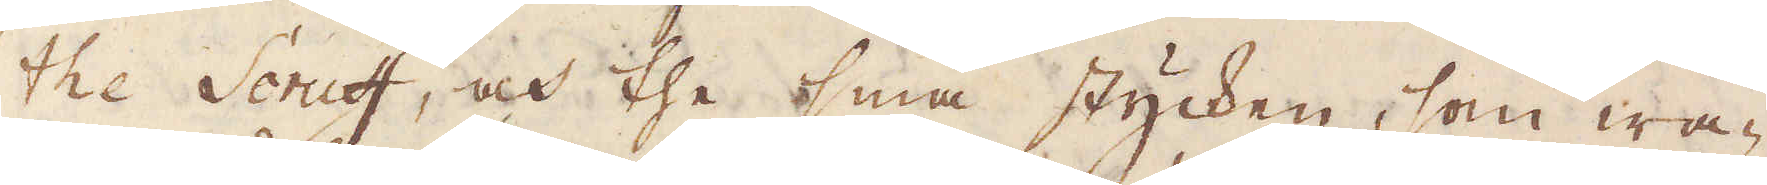the Scruff, och the små stycken, som wa-
